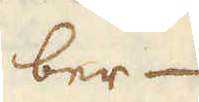ber-
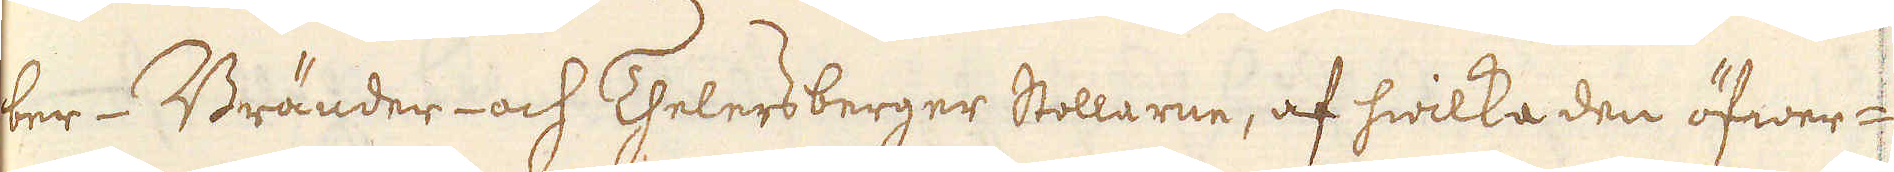ber- Bränder- och Thelersberger Stollarne, af hwilka den öfwer-
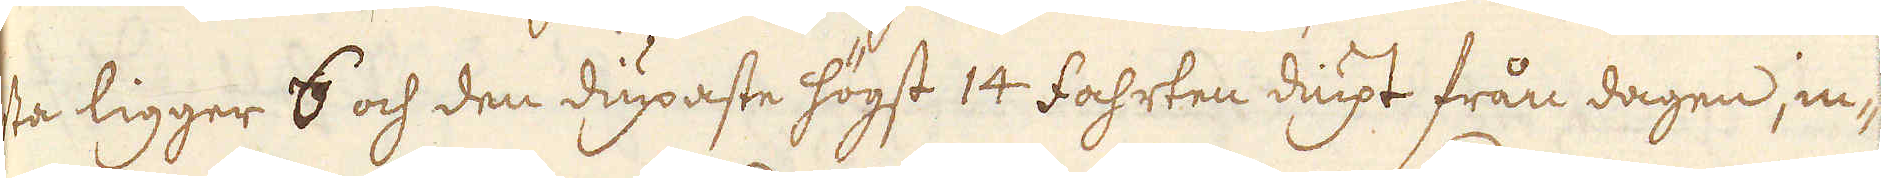sta ligger 6 och den diupaste högst 14 Fahrten diupt från dagen, in-
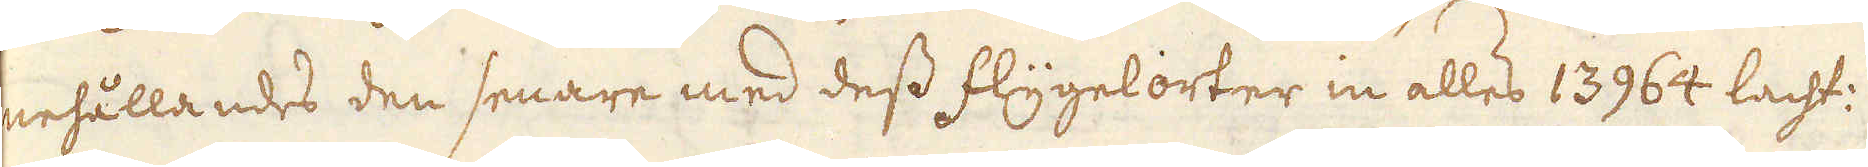nehållandes den senare med dess flygelorter in alles 13964 lacht:
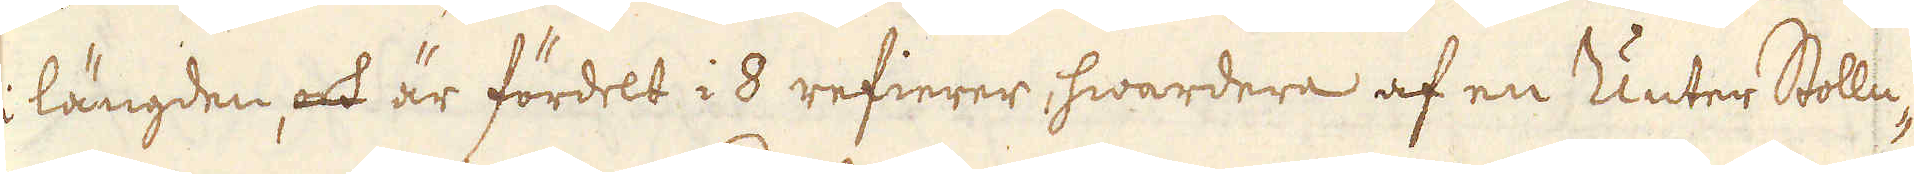i längden, och är fördelt i 8 refierer, hwardera af en Unter Stolln-
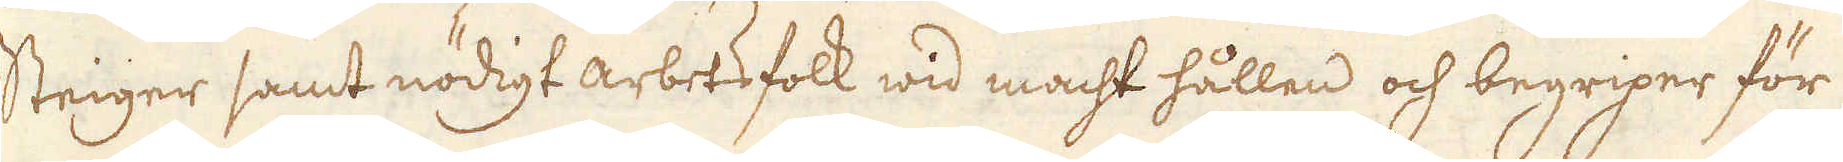steiger samt nödigt arbetsfolk wid macht hållen och begriper för
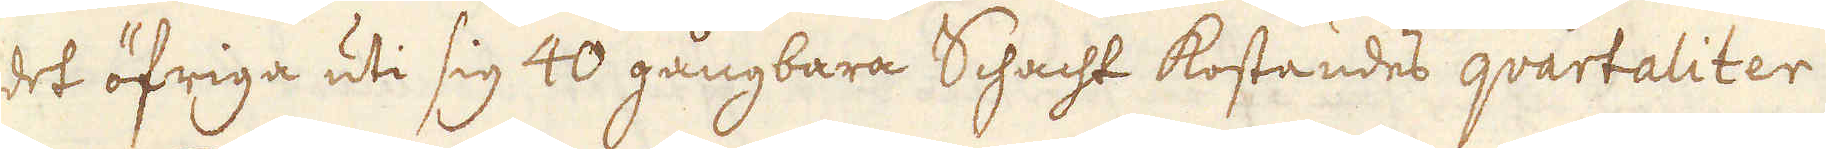det öfriga uti sig 40 gångbara Schacht kostandes quartaliter
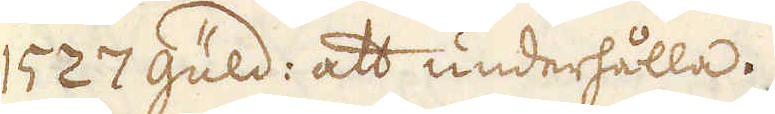1527 Güld: att underhålla.
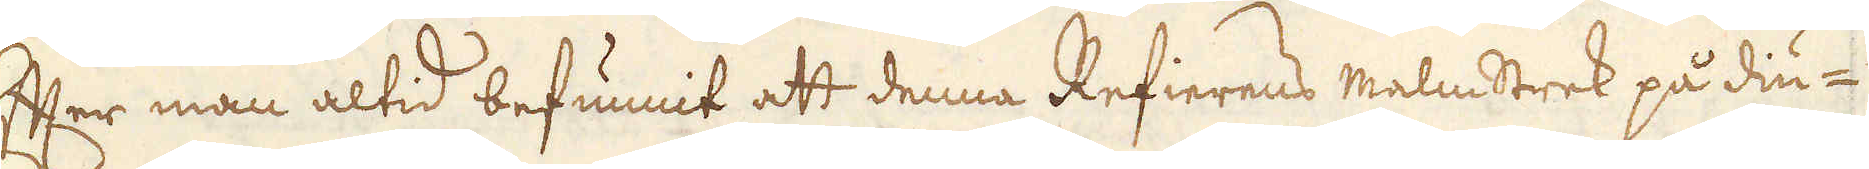Efter man altid befunnit att denna Refierens malmstrek på diu-
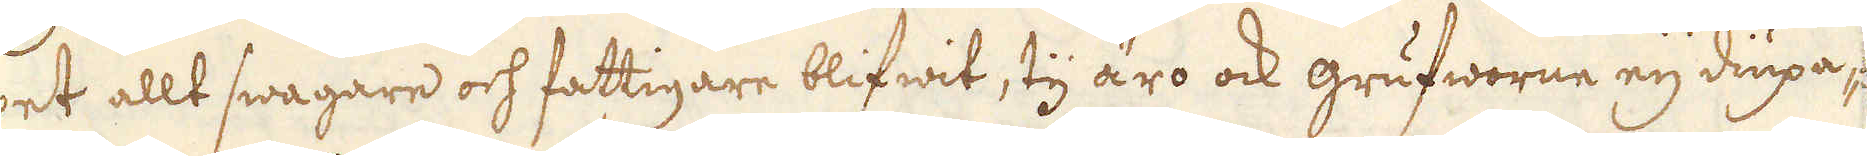pet allt swagare och fattigare blifwit, tj äro ock grufworne eij diupa-
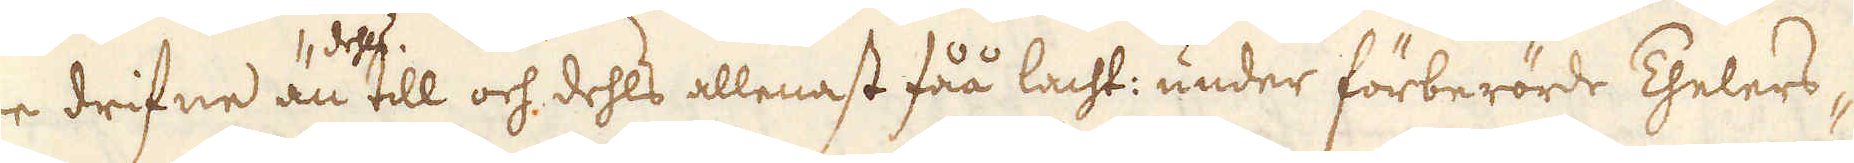re drifne än dehls till och dehls allenast fåå lacht: under förberörde Thelers-
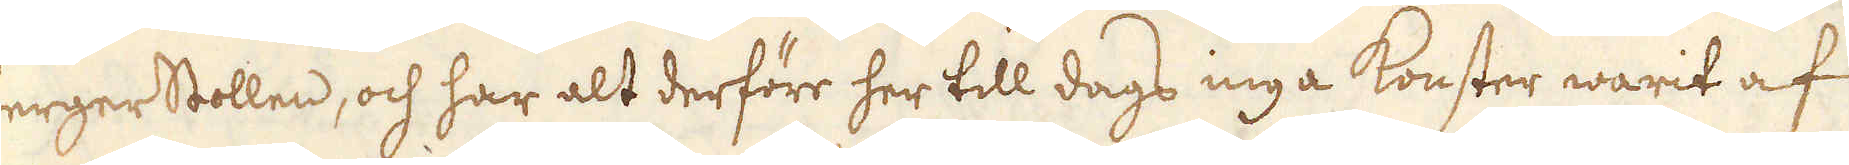berger Stollen, och har alt derföre her till dags inga konster warit af
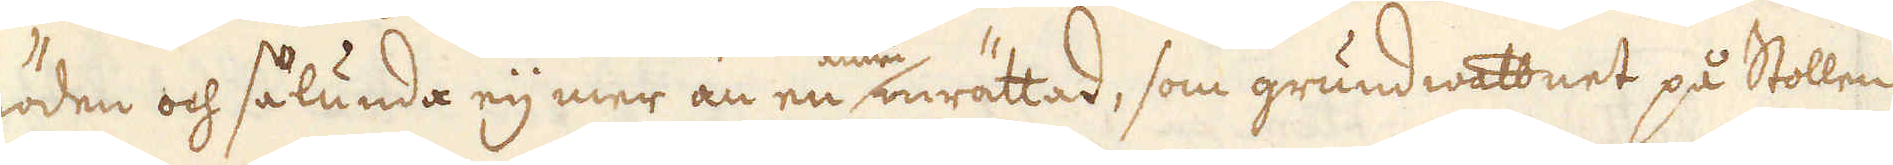nöden och sålunda eij mer än en inrättad, som grundwattnet på Stollen
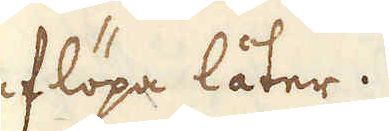aflöpa låter.
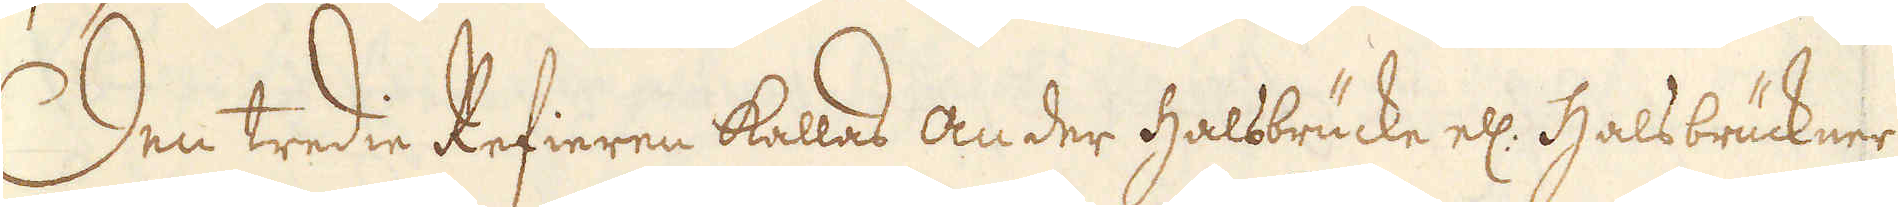Den tredie Refieren kallas An der Halsbrücke el: Halsbrückner
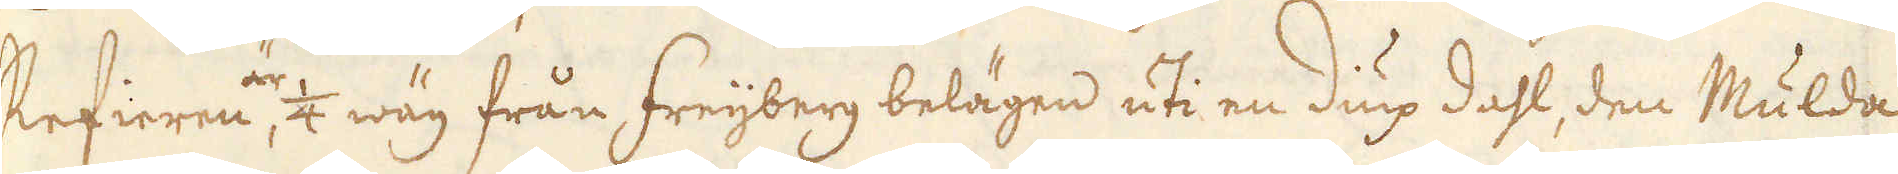Refieren, är 1/4 wäg från Freijberg belägen uti en diup dahl, den Mulda
